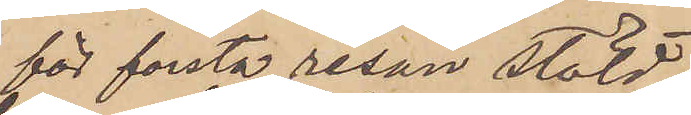för första resan stöld
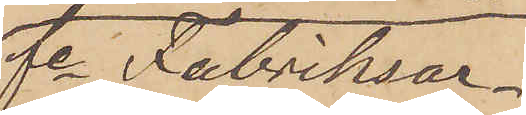fe Fabriksar¬
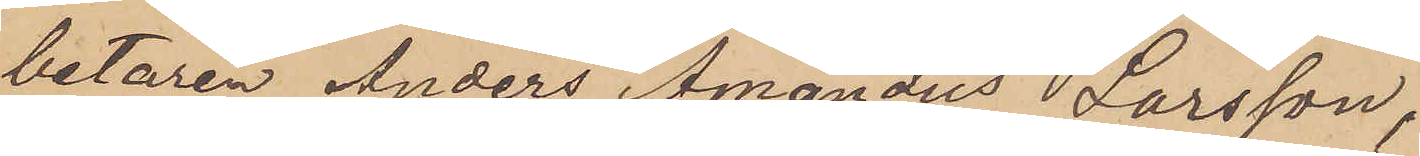betaren Anders Amandus Larsson,
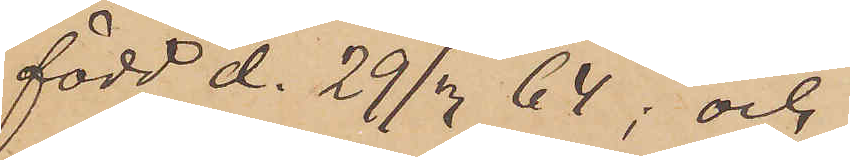född d. 29/3 64; och
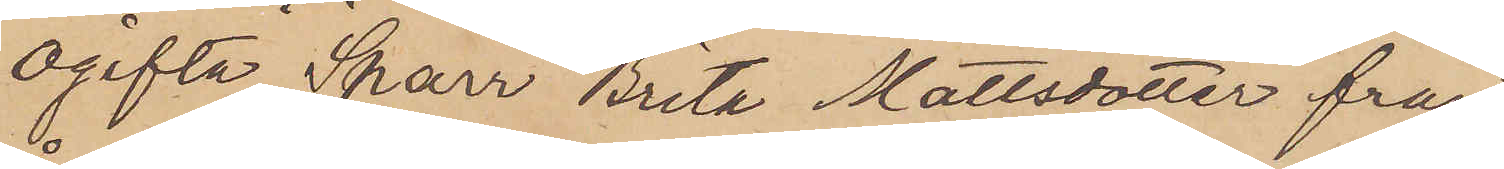ogifta Sparr Brita Mattsdotter från
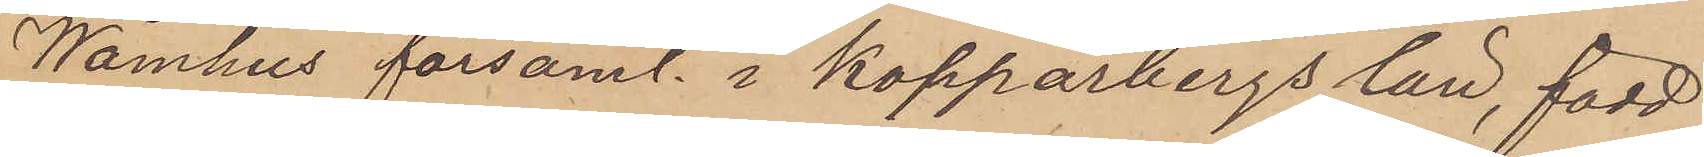Wåmhus församl. i Kopparbergs län, född
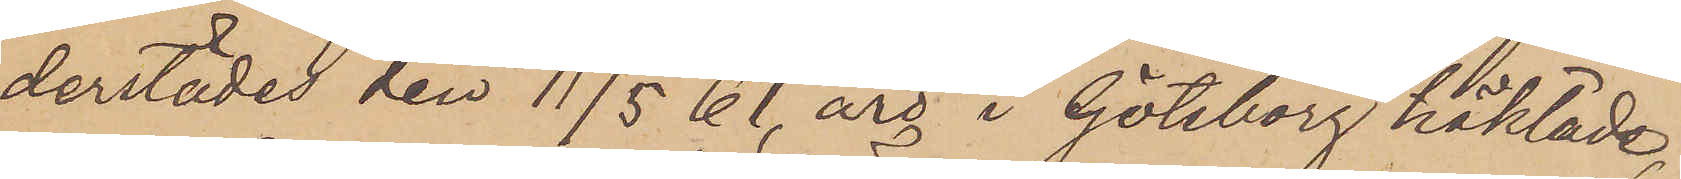derstädes den 11/5 61, äro i Göteborg häktade,
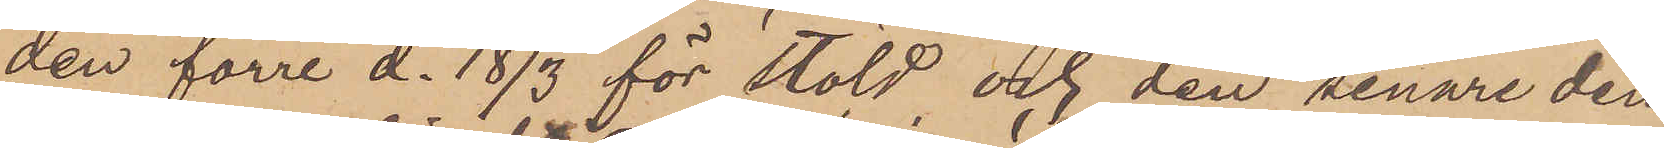den förre d. 18/3 för stöld och den senare den
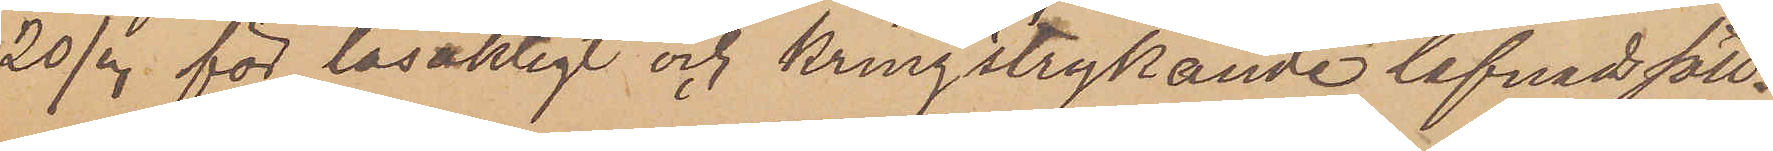20/3 för lösaktigt och kringstrykande lefnadsätt.
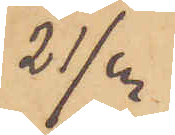21/3
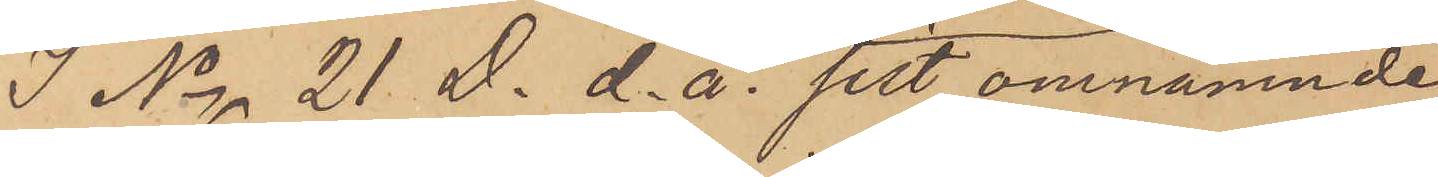I No 21 D. d. å. sitt omnämnde
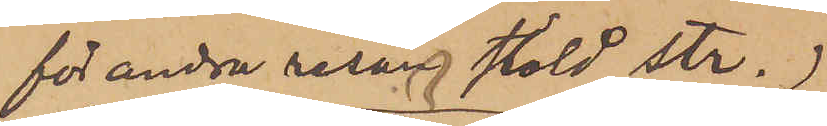för andra resan stöld str.
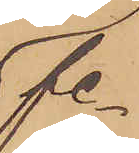fe
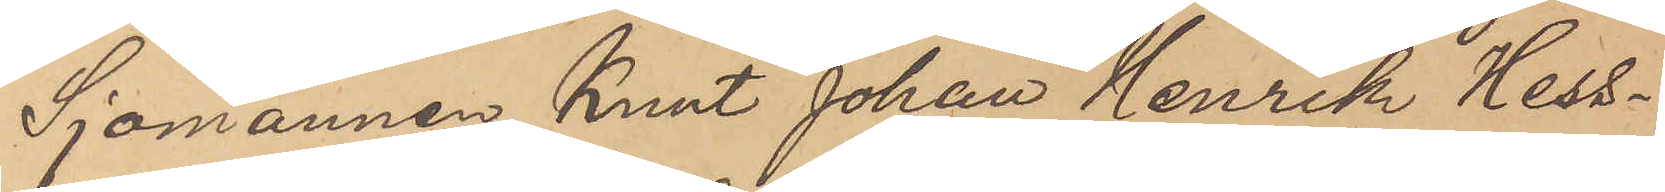Sjömannen Knut Johan Henrik Hess¬
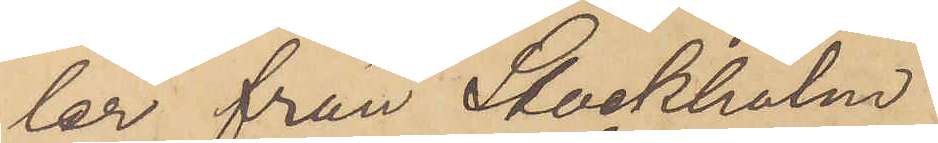ler från Stockholm
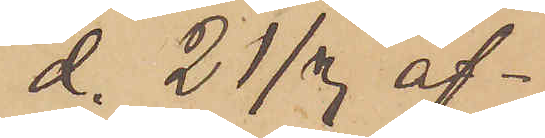d. 21/3 af¬
